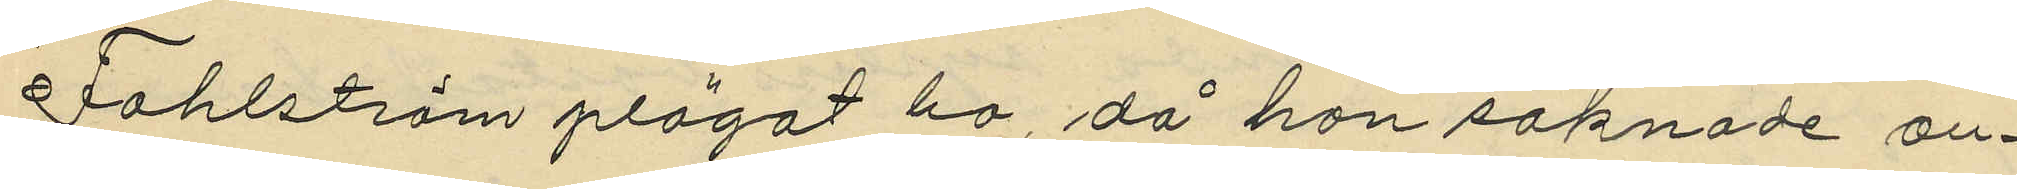Fahlström plägat bo, då hon saknade an¬
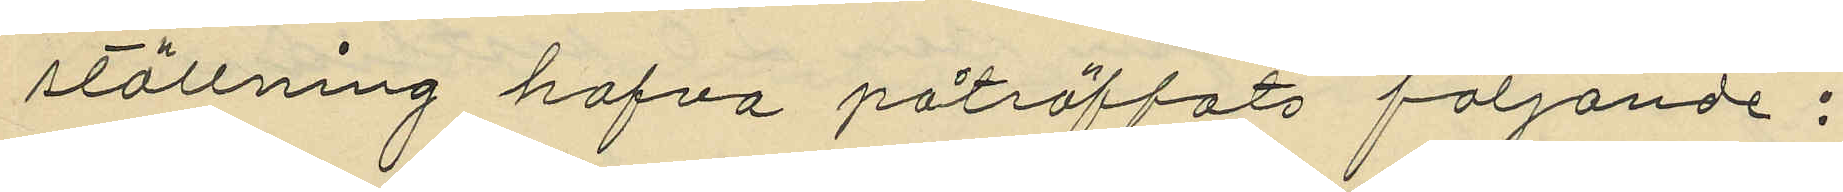ställning hafva påträffats följande;
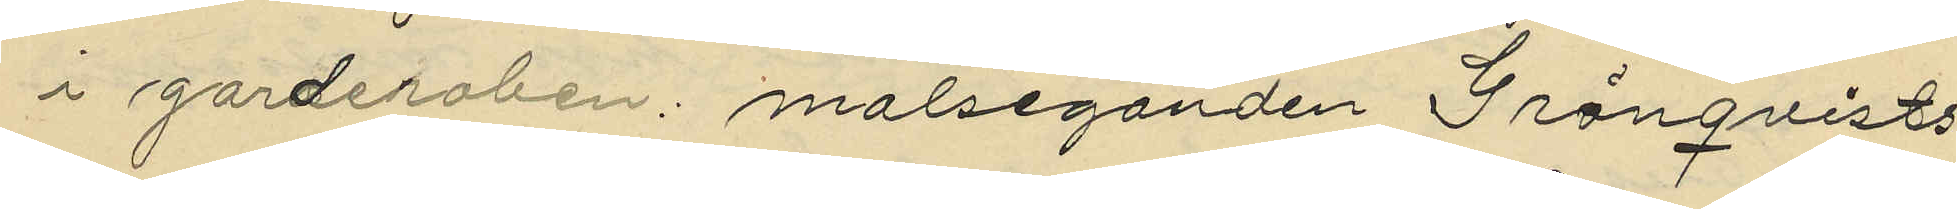i garderoben: målseganden Grönqvists
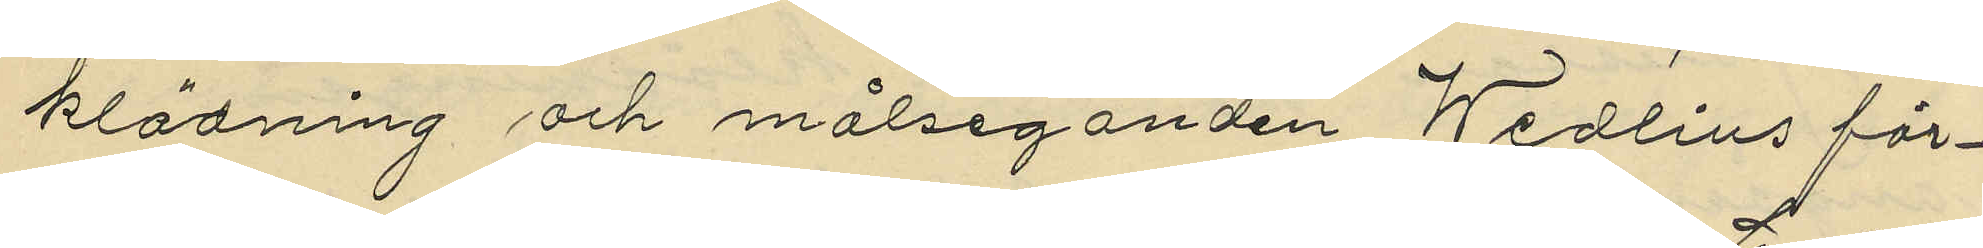klädning och målseganden Wedlin för¬
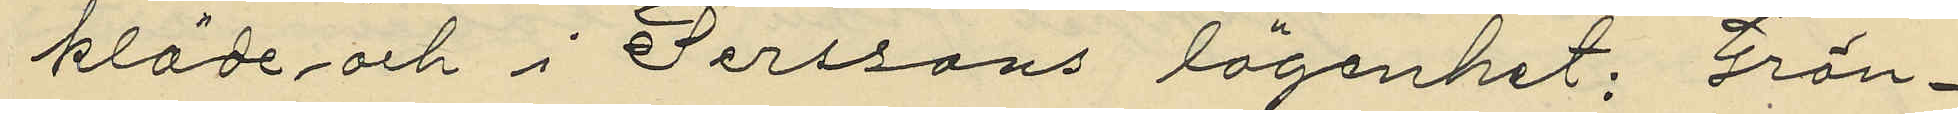kläde och i Perssons lägenhet; Grön¬
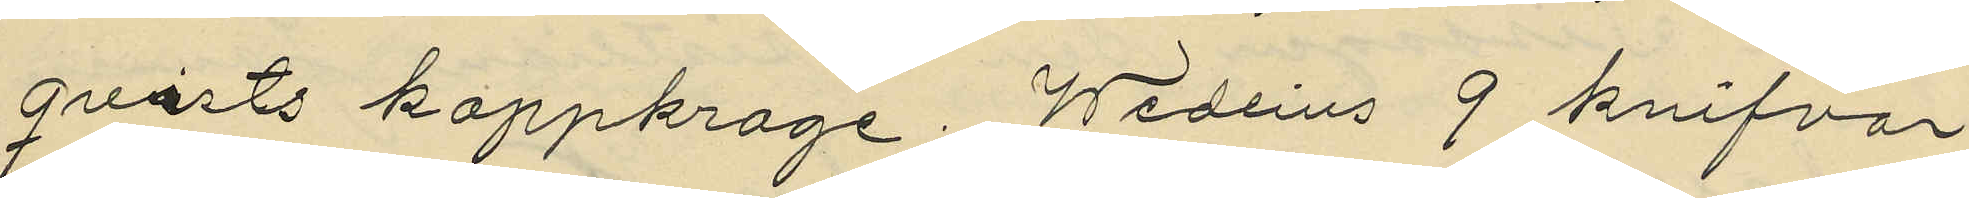qvists kappkrage; Wedlins 9 knifvar
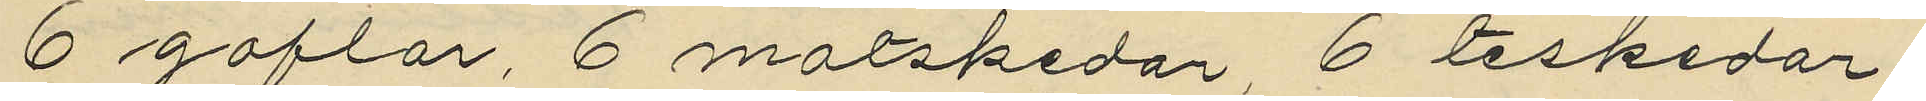6 gafflar, 6 matskedar, 6 teskedar,
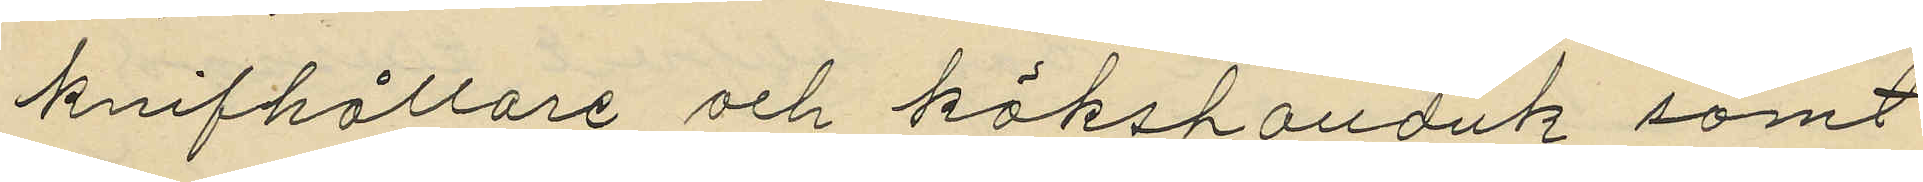knifhållare och kökshanduk samt
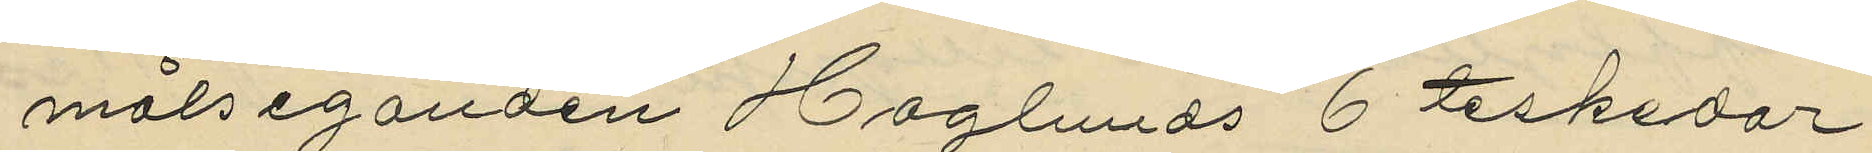målseganden Haglunds 6 teskedar.
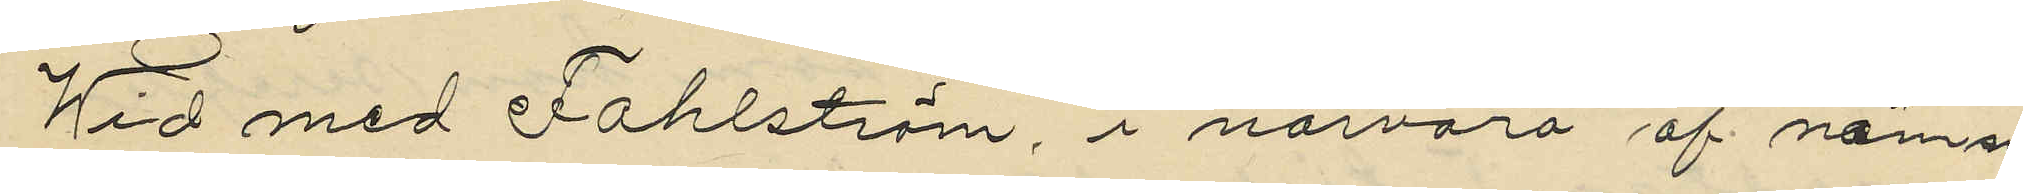Wid med Fahlström i närvaro af nämn¬
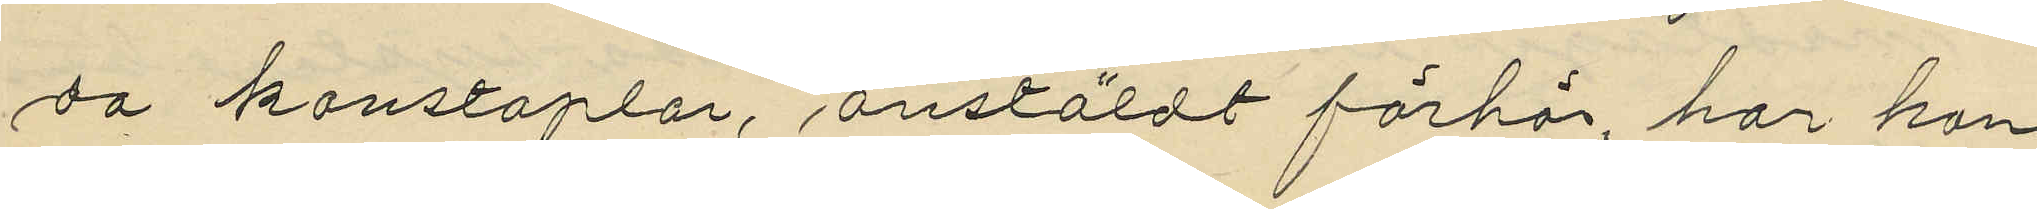da konstaplar, anstäldt förhör, har hon
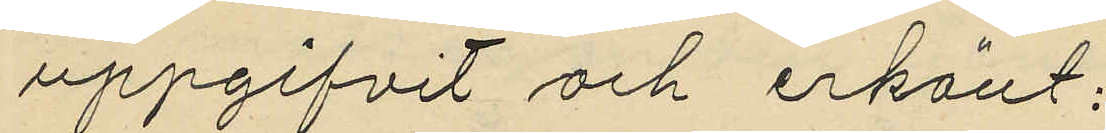uppgifvit och erkänt:
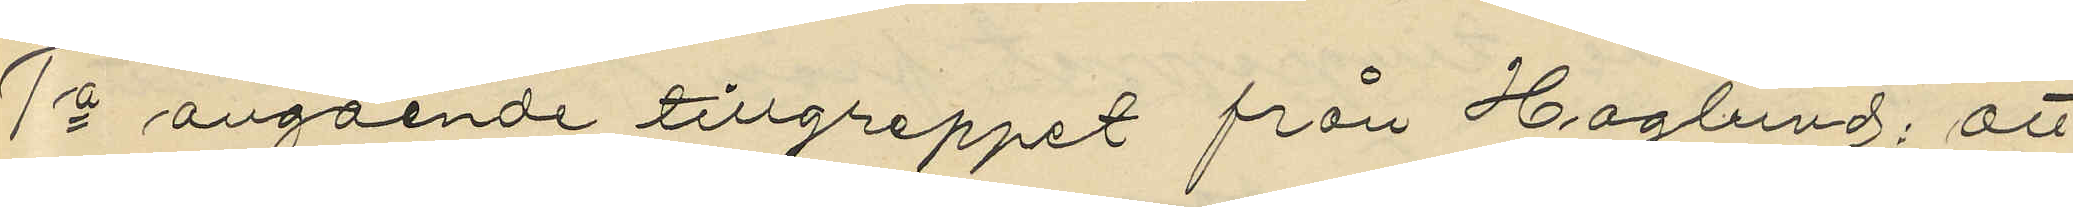1o angående tillgreppet från Haglund; att
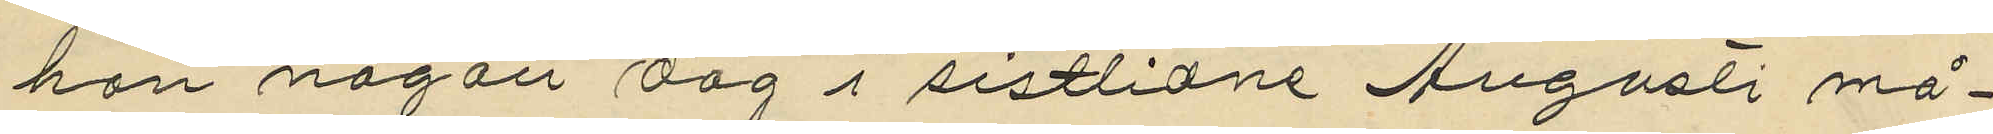hon någon dag i sistlidne Augusti må¬
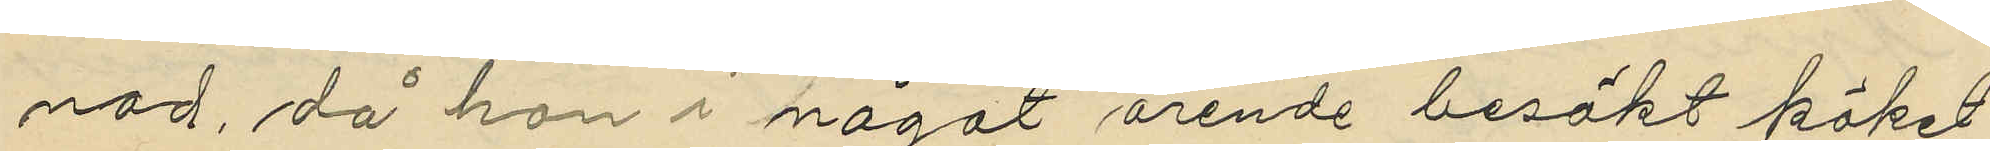nad, då hon i något ärende besökt köket
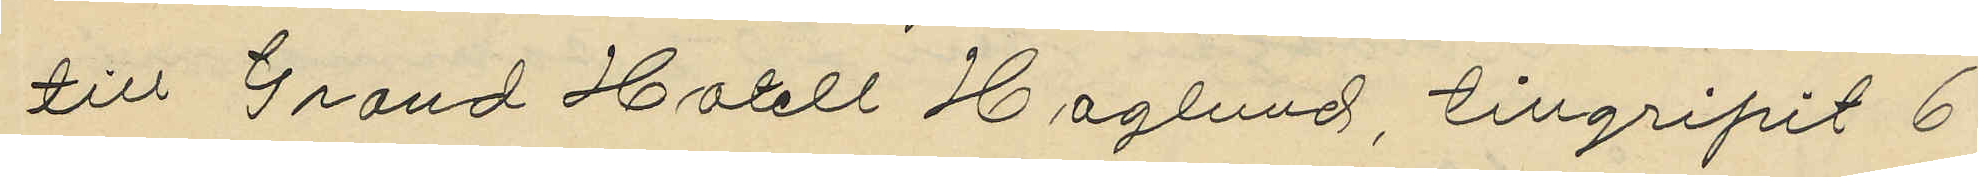till Grand Hotell Haglund tillgripit 6
